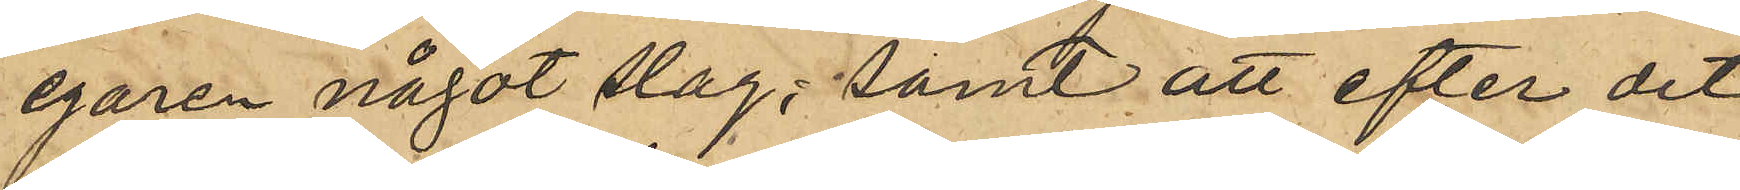egaren något slag; samt att efter det
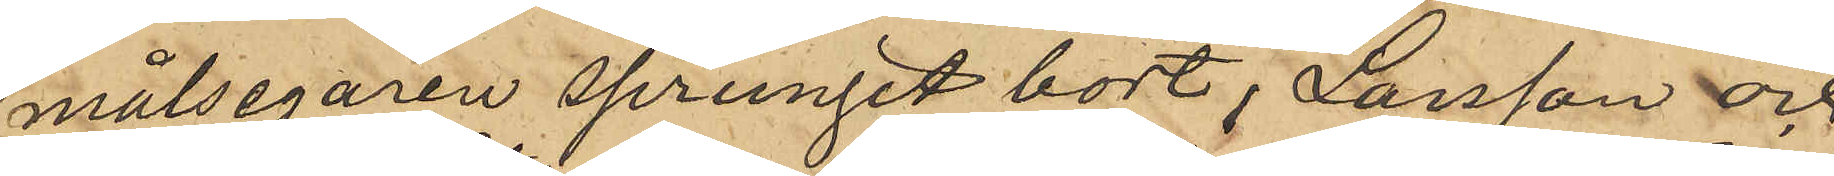målsegaren sprungit bort, Larsson och
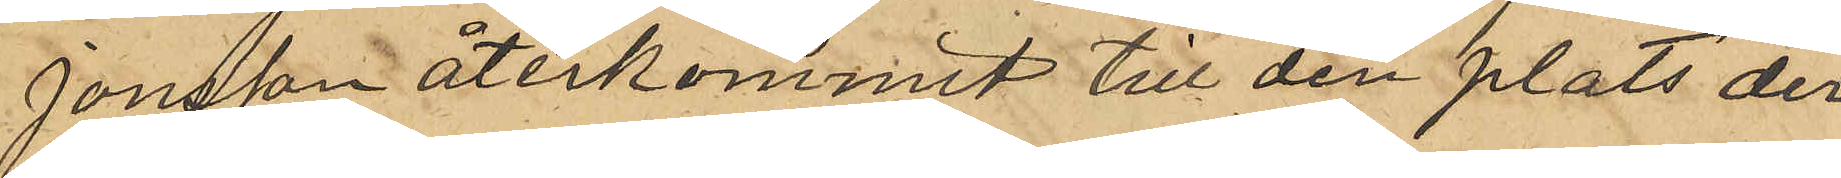Jonsson återkommit till den plats der
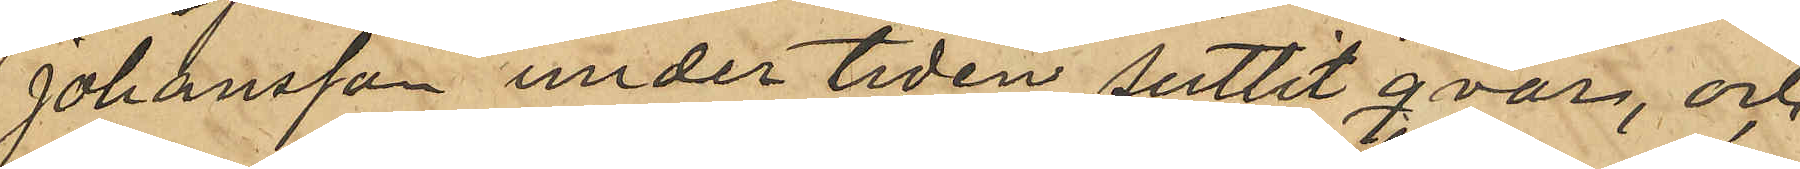Johansson under tiden suttit qvar, och
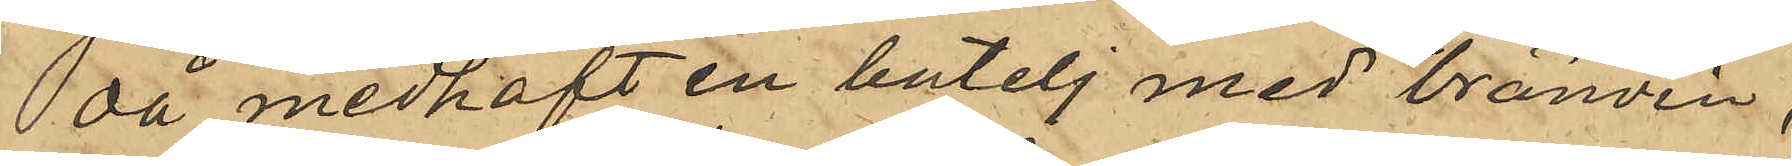då medhaft en butelj med bränvin,
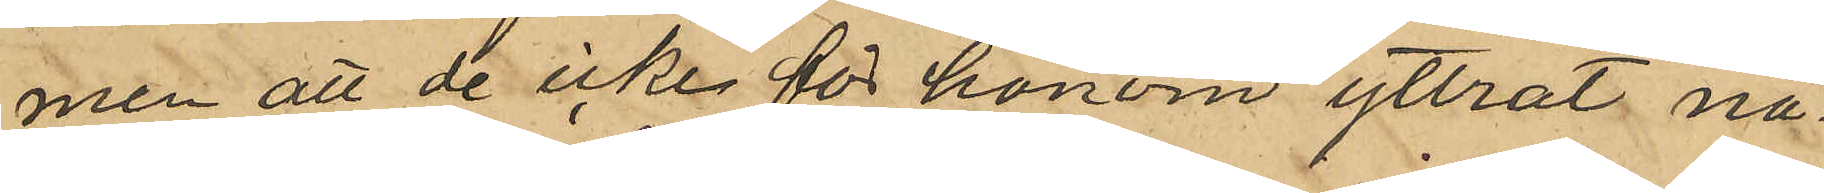men att de icke för honom yttrat nå¬
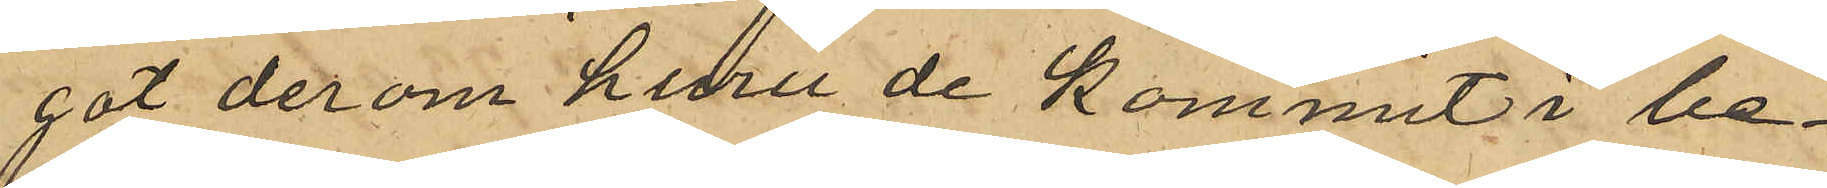got derom huru de kommit i be¬
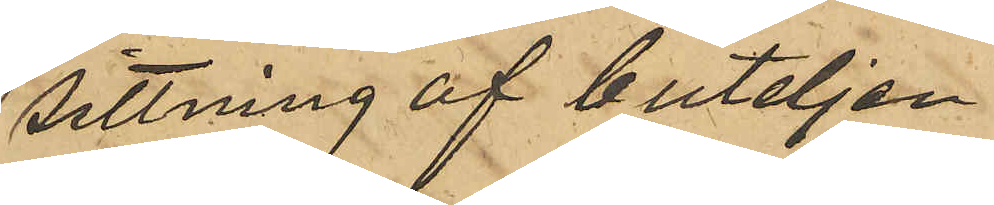sittning af buteljen.
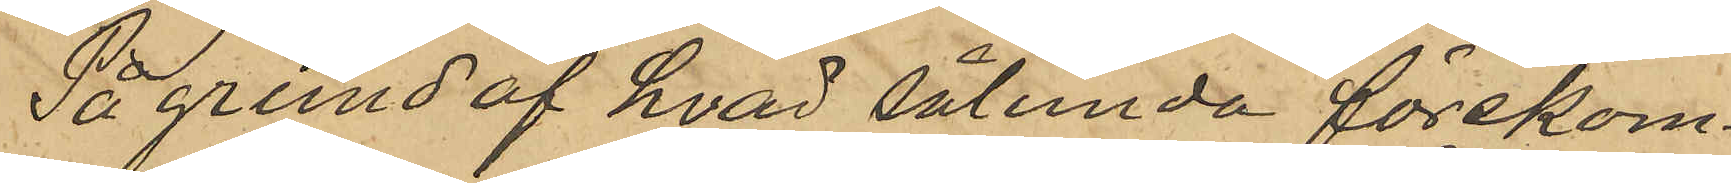På grund af hvad sålunda förekom¬
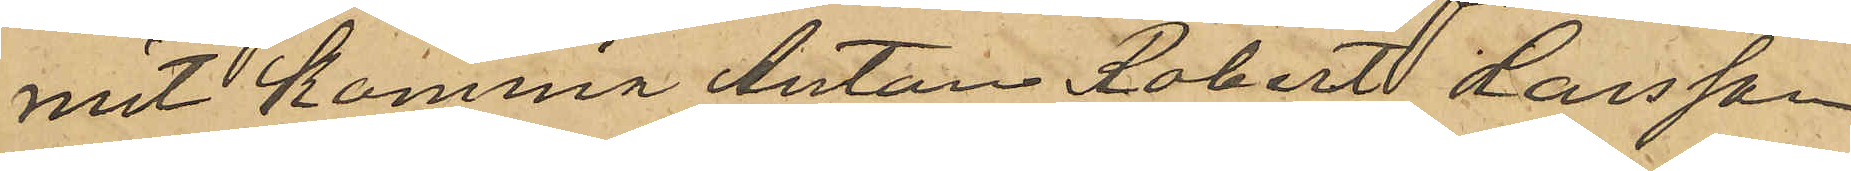mit komma Anton Robert Larsson
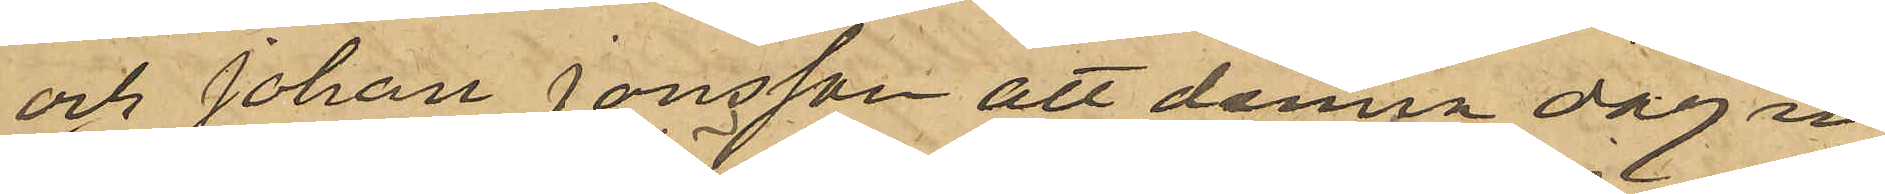och Johan Jonsson att denna dag in¬
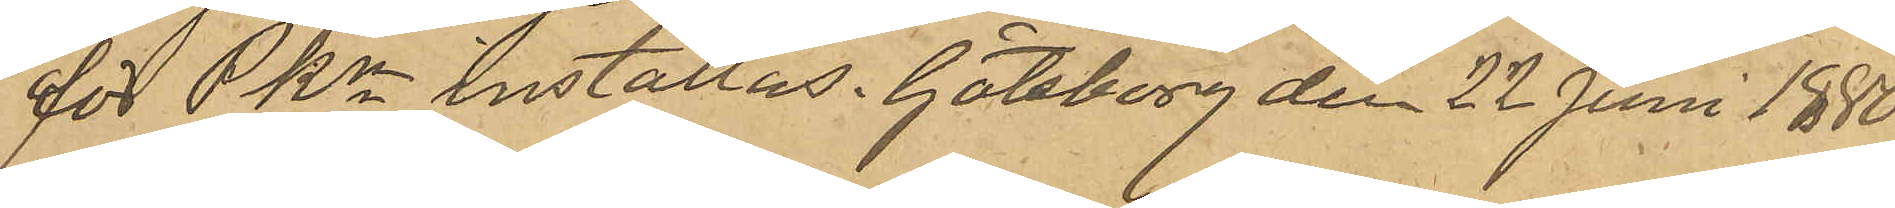för PKn inställas. Göteborg den 22 Juni 1880.
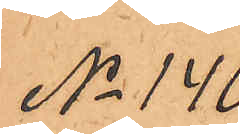No 140
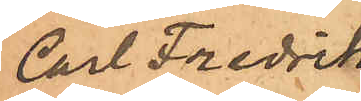Carl Fredrik
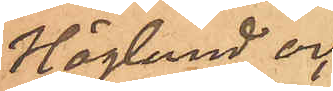Höglund och
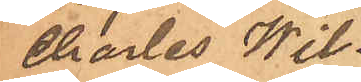Charles Wil¬
